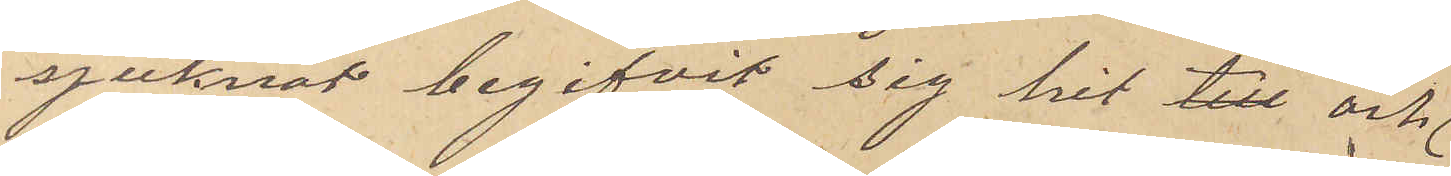sjuknat begifvit sig hit till och
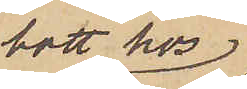bott hos
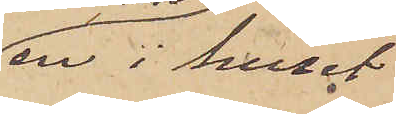en i huset
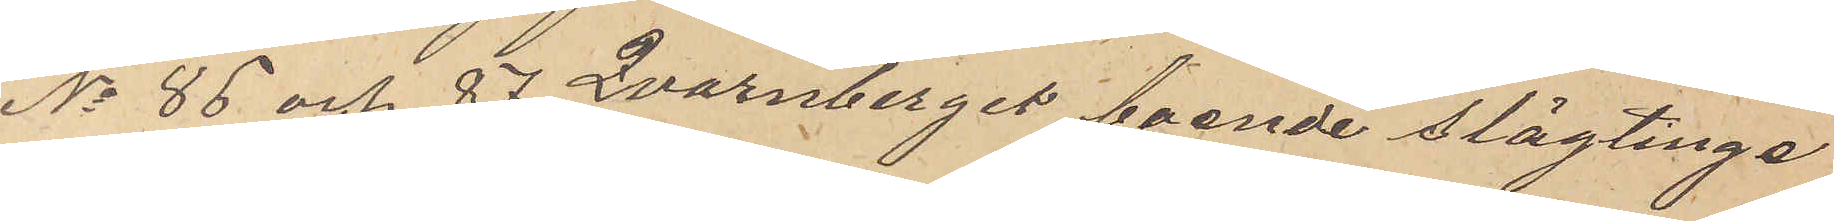No 86 och 87 Qvarnberget boende slägting
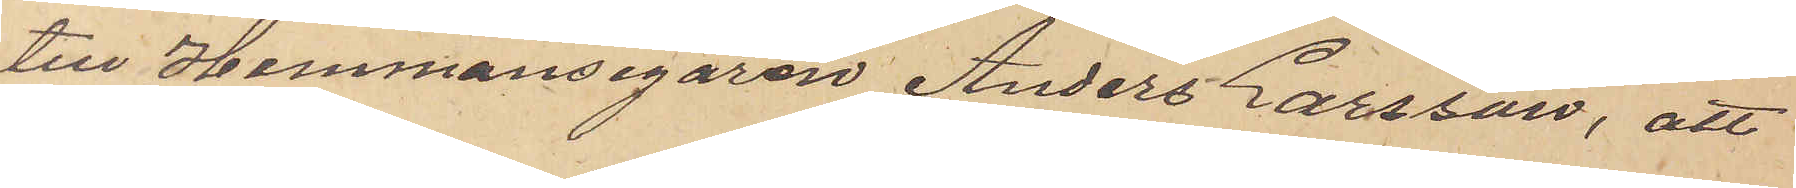till Hemmansegaren Anders Larsson, att
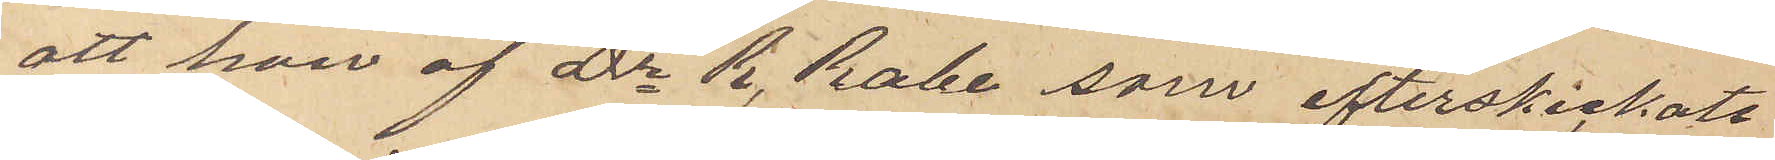att hon af Dr R. Rabe som efterskickats
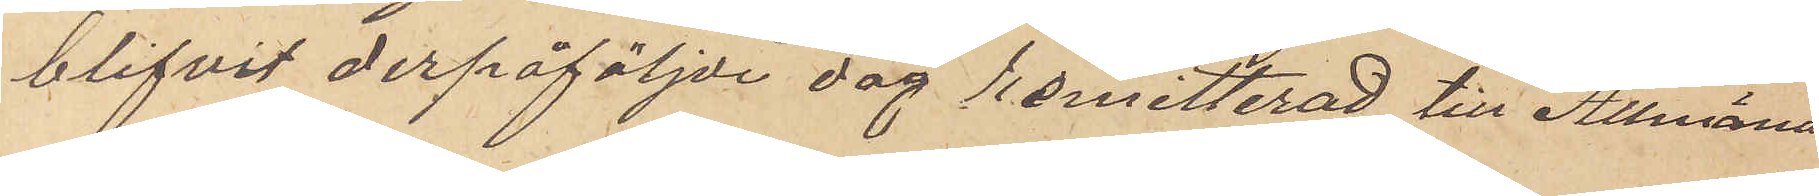blifvit derpåföljde dag remitterad till Allmäna
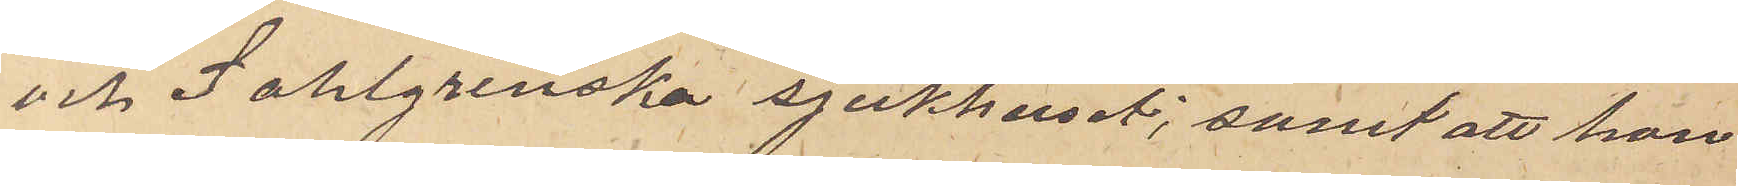och Sahlgrenska sjukhuset; samt att hon,
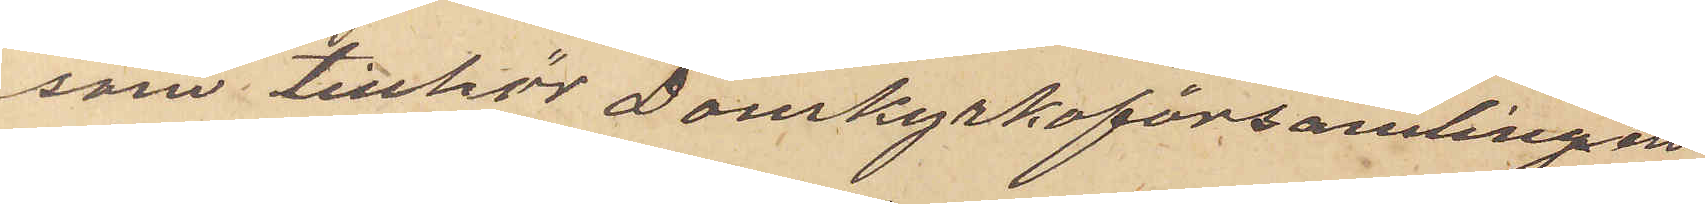som tillhör Domkyrkoförsamlingen
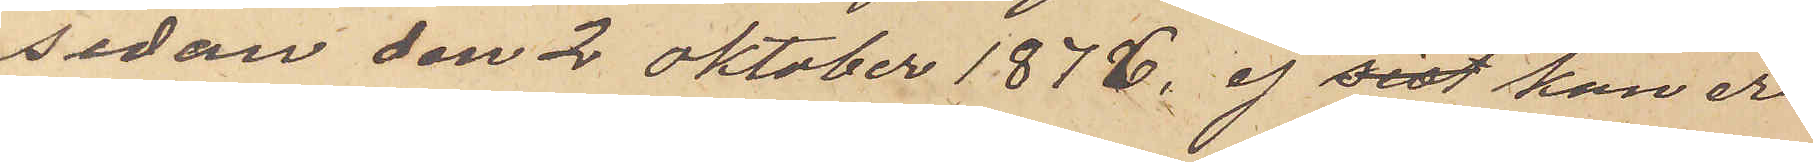sedan den 2 Oktober 1876, ej sist kan er¬
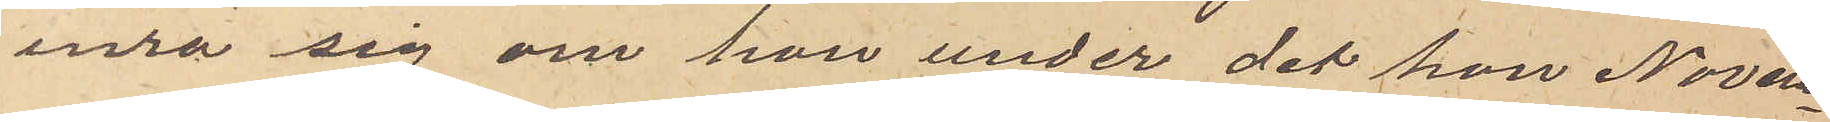inra sig om hon under det hon Novem¬
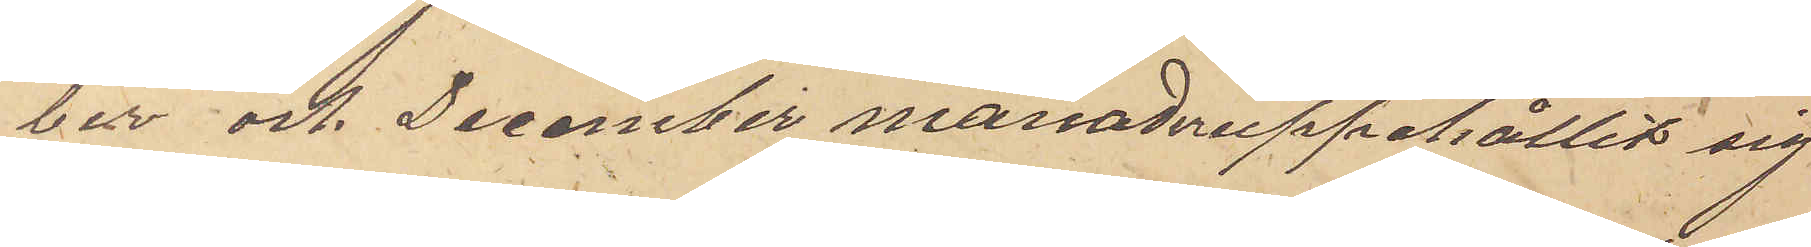ber och December månader uppehållit sig
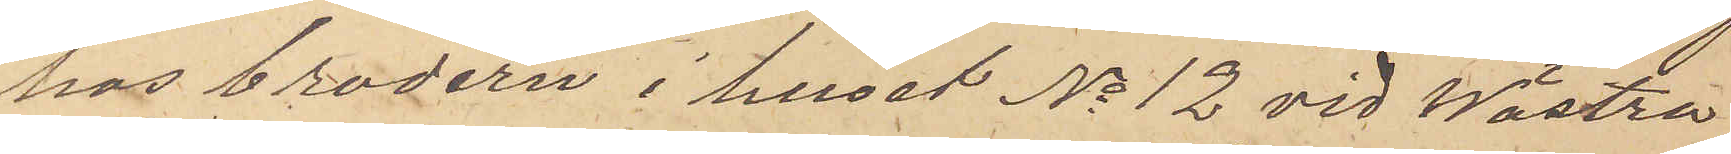hos brodern i huset No 12 vid Wästra
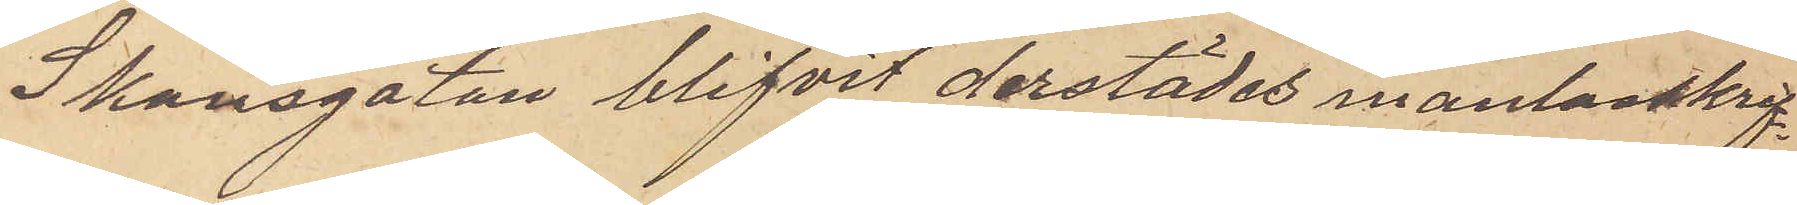Skansgatan blifvit derstädes mantalsskrif¬
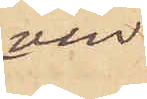ven.
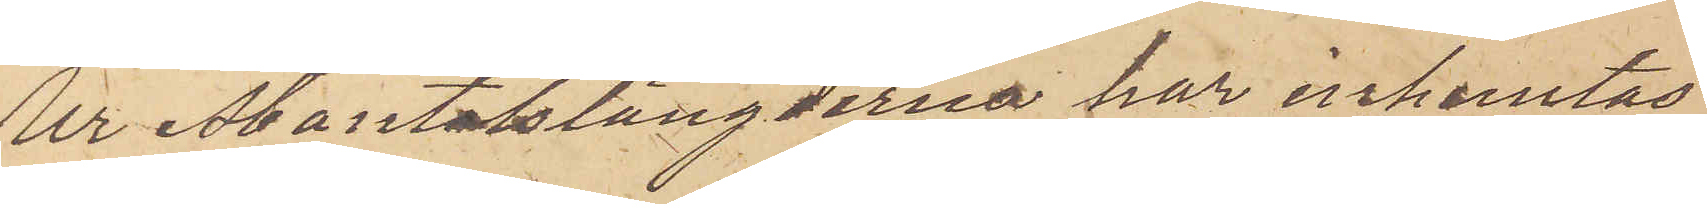Ur Mantalslängderna  har inhemtas
